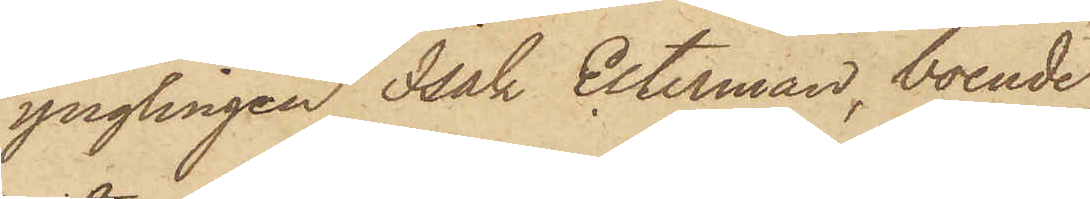ynglingen Isak Esterman, boende
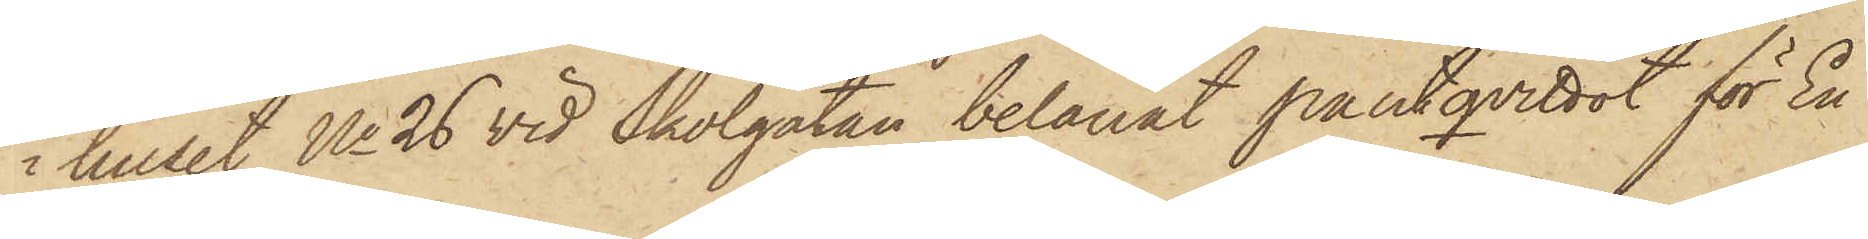i huset No 26 vid Skolgatan belånat pantqvittot för En
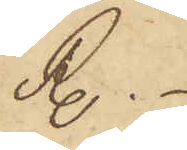R.
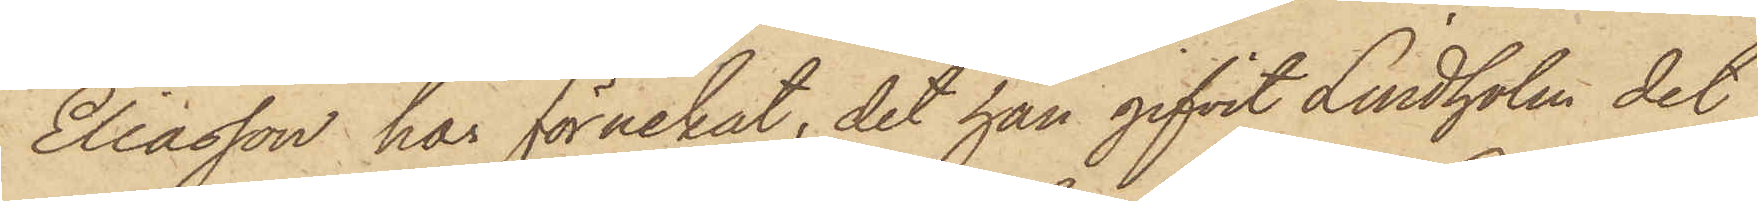Eliasson har förnekat, det han gifvit Lindholm det
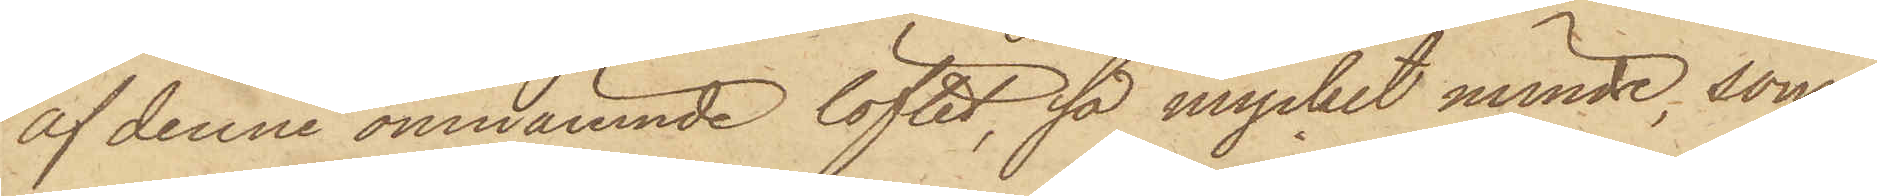af denne omnämnde löftet, så mycket mindre, som
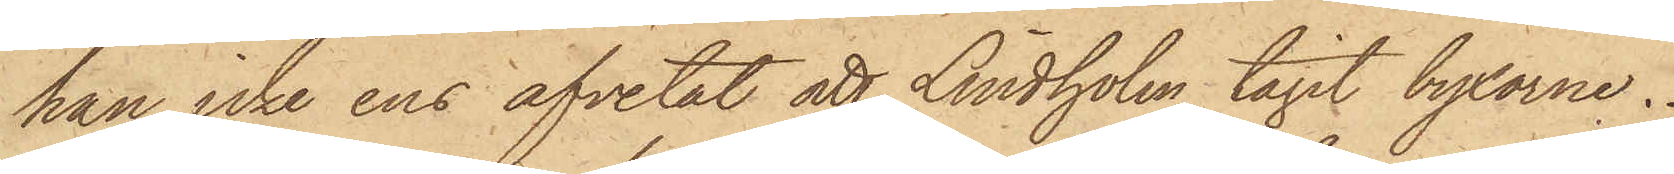han icke ens afvetat att Lindholm tagit byxorne.
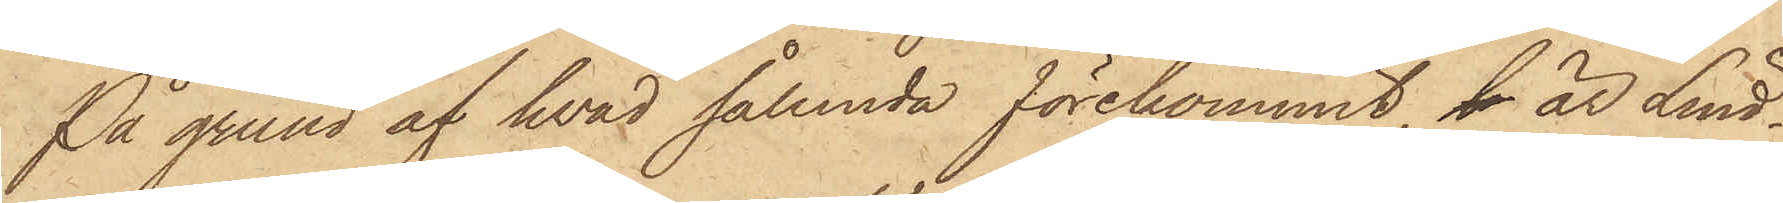På grund af hvad sålunda förekommit, l är Lind¬
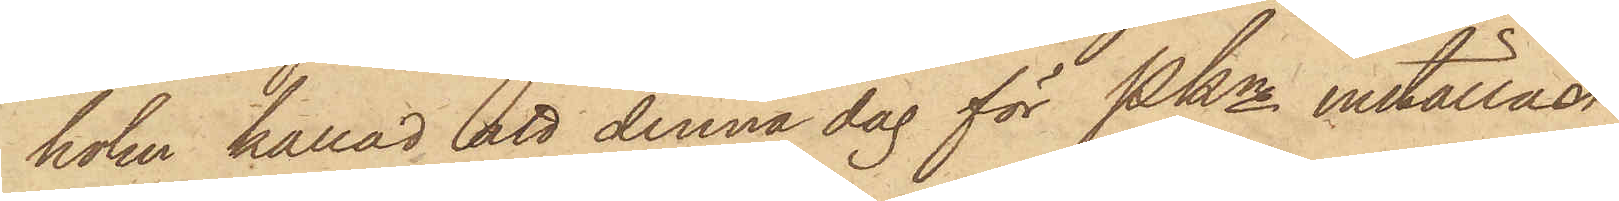holm kallad att denna dag för Pkn inställas.
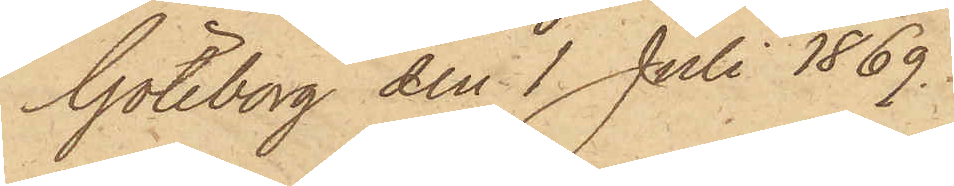Göteborg den 1 Juli 1869.
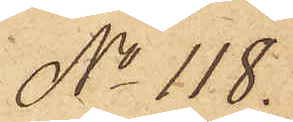No 118.
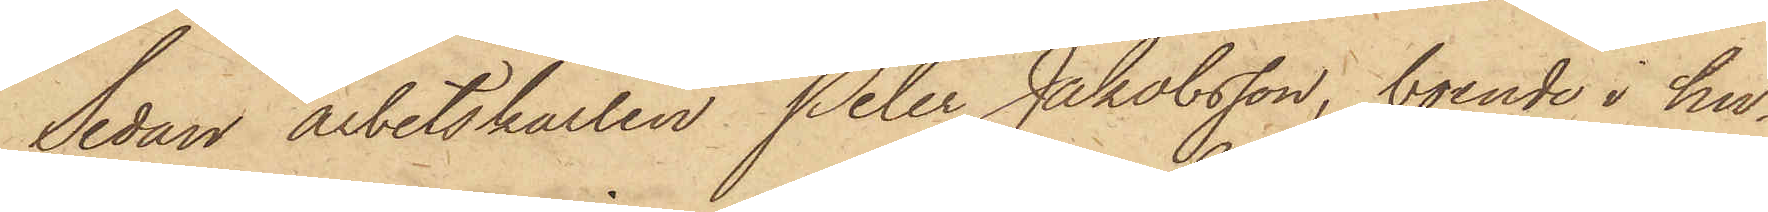Sedan arbetskarlen Peter Jakobsson, boende i hu¬
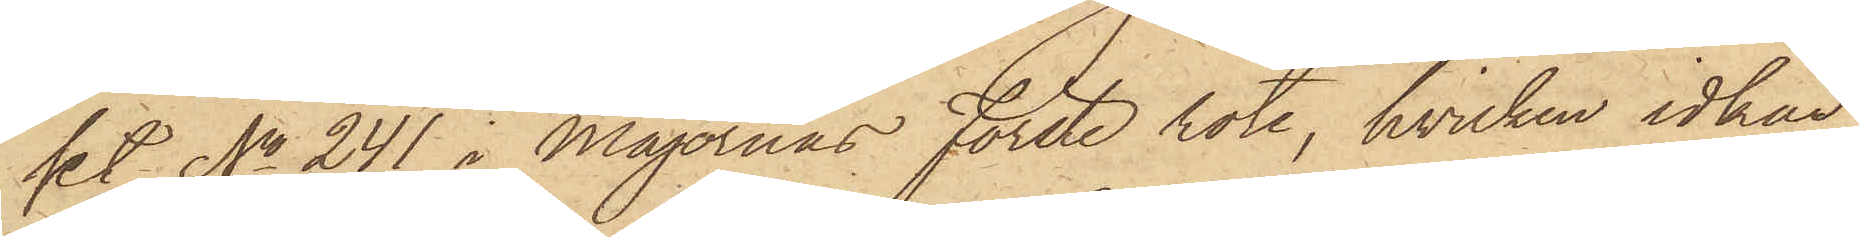set No 241 i Majornas Förste rote, hvilken idkar
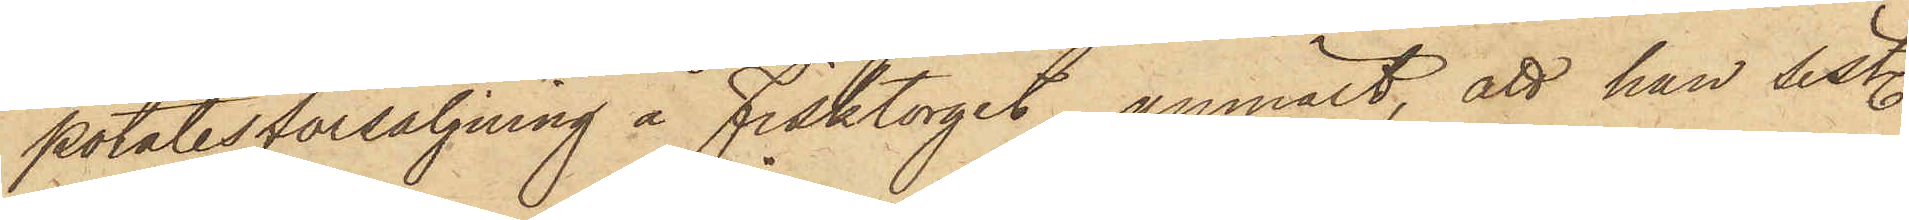potatisförsäljning å Fisktorget, anmält, att han sist.
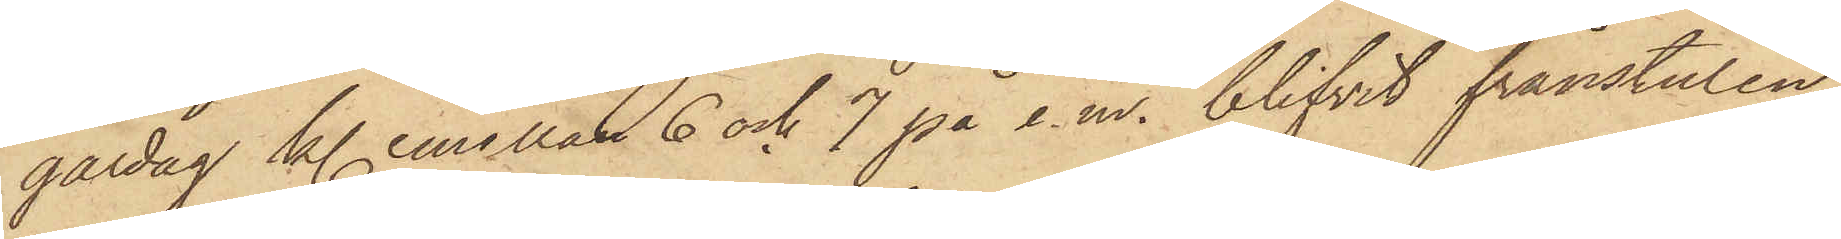gårdag kl. emellan 6 och 7 på e.m. blifvit frånstulen
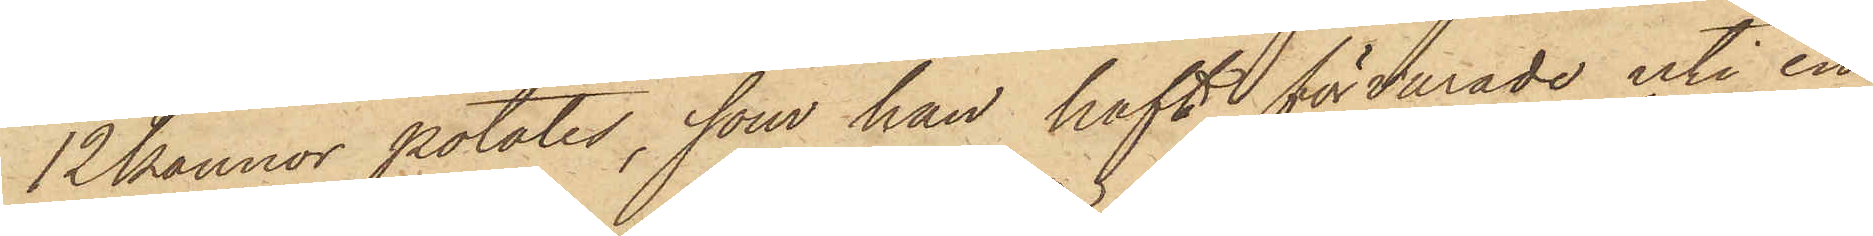12 kannor potatis, som han haft förvarade uti en
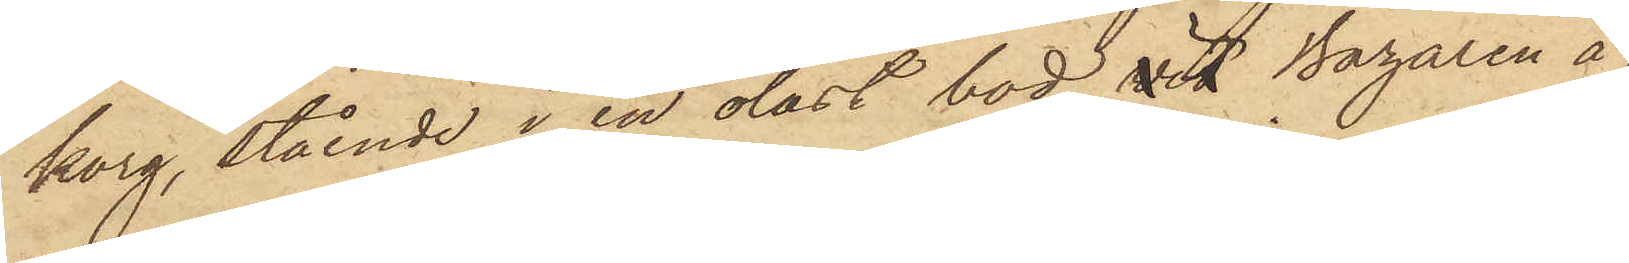korg, stående i en olåst bod vid Bazaren å
